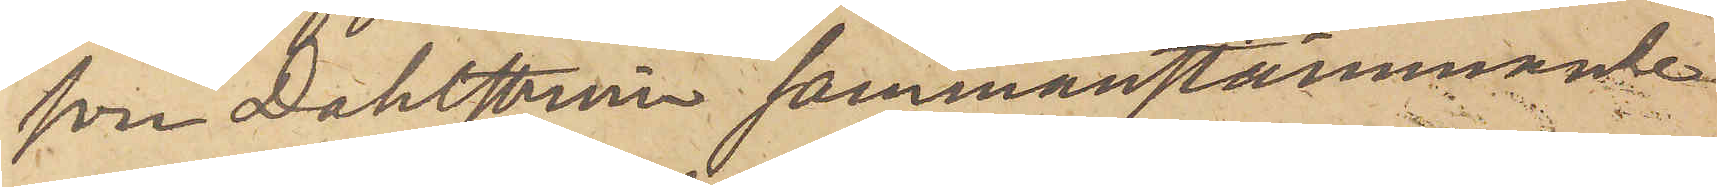som Dahlström sammanstämmande
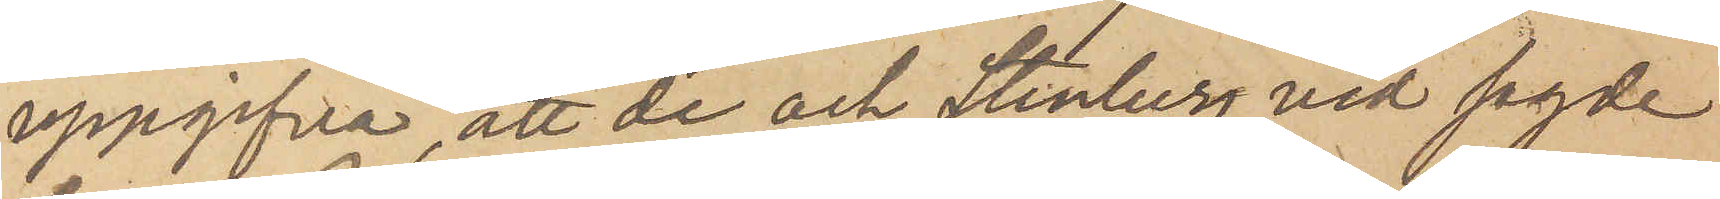uppgifva, att de och Stenberg vid sagde
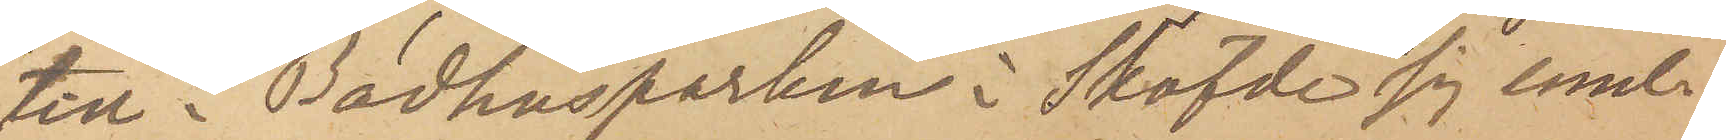tid i Badhusparken i Sköfde sig emel¬
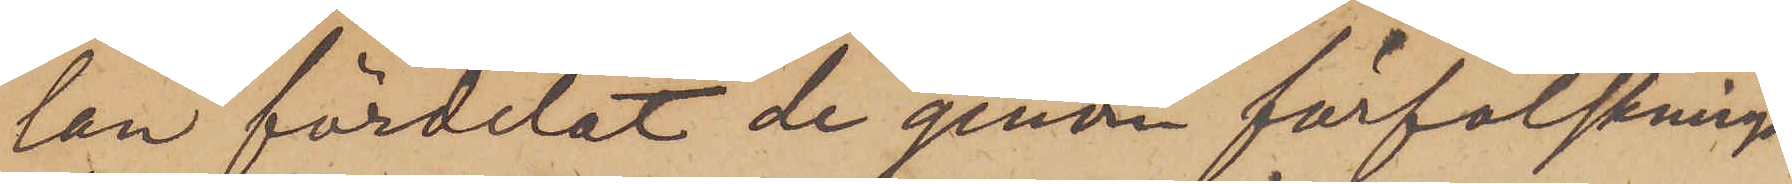lan fördelat de genom förfalsknings¬
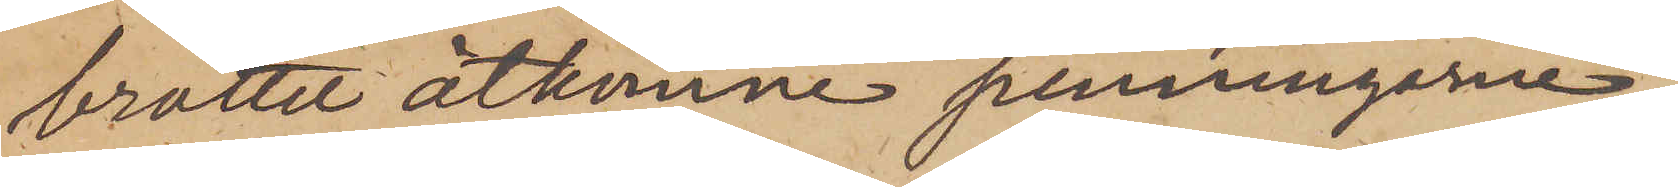brottet åtkomne penningarne.
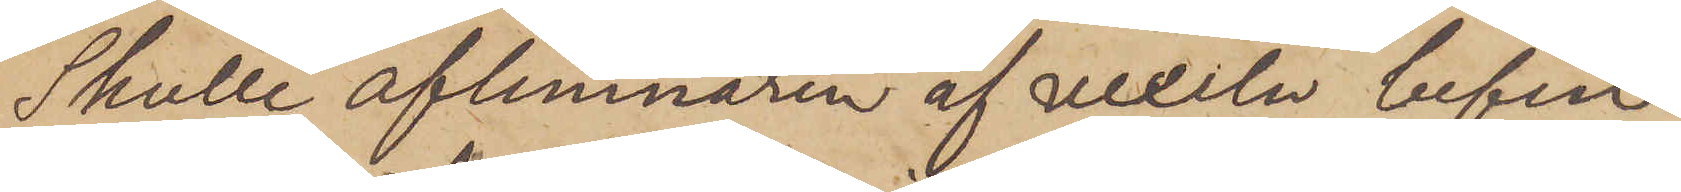Skulle aflemnaren af vexeln befin¬
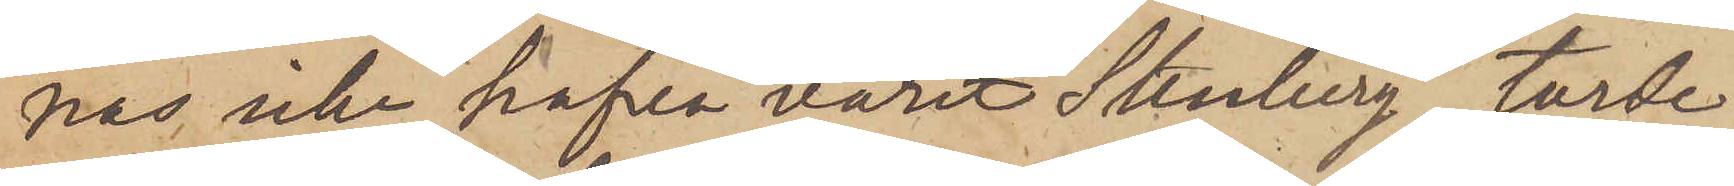nas icke hafva varit Stenberg, torde,
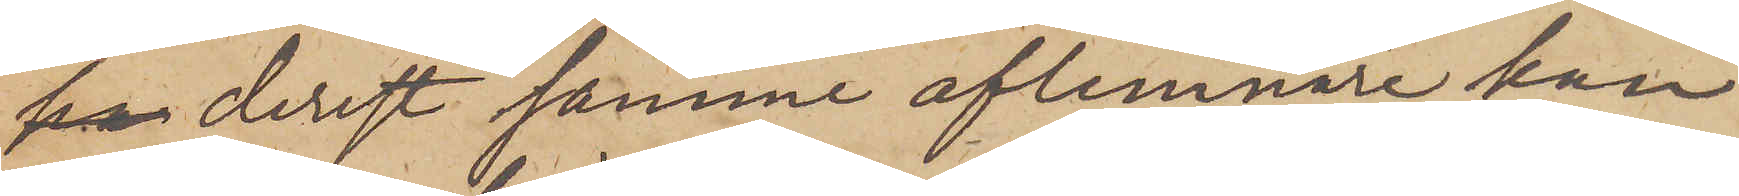derest samme aflemnare kan
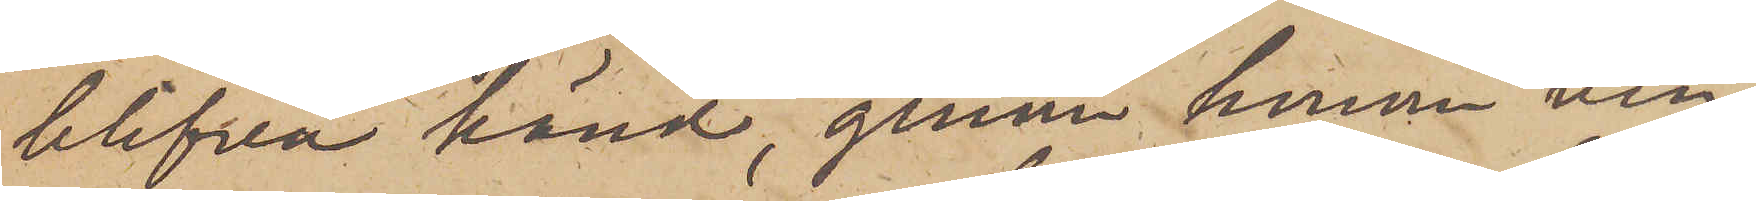blifva känd, genom honom vin¬
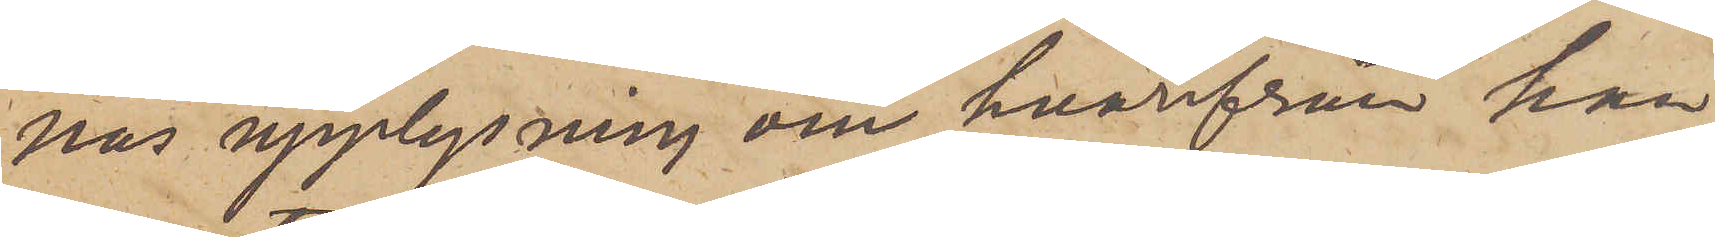nas upplysning om hvarifrån han
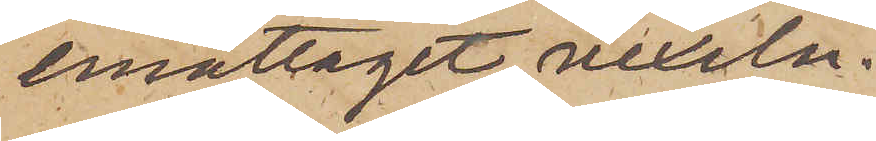emottagit vexeln.
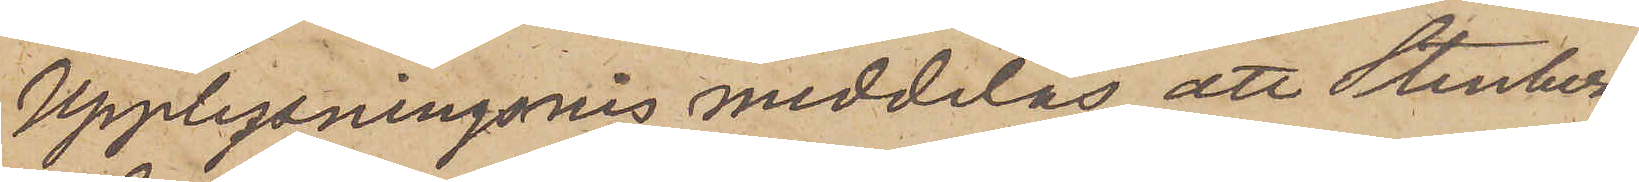Upplysningsvis meddelas, att Stenberg
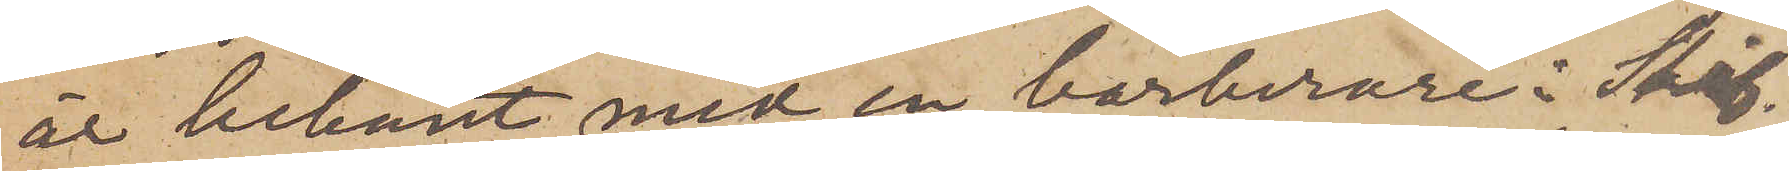är bekant med en barberare i Sköf¬
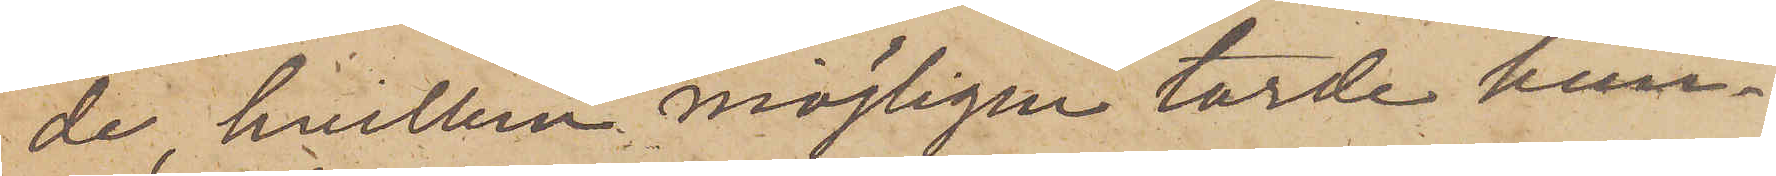de, hvilken möjligen torde kun¬
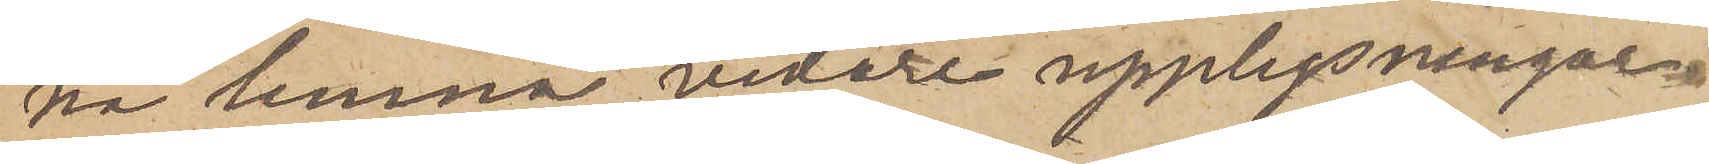na lemna vidare upplysningar.
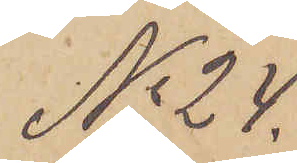No 24.
